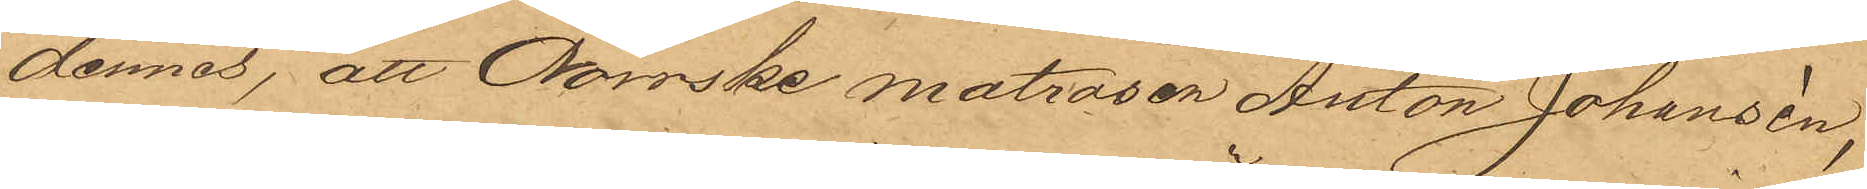dennes, att Norrske matrosen Anton Johansén,
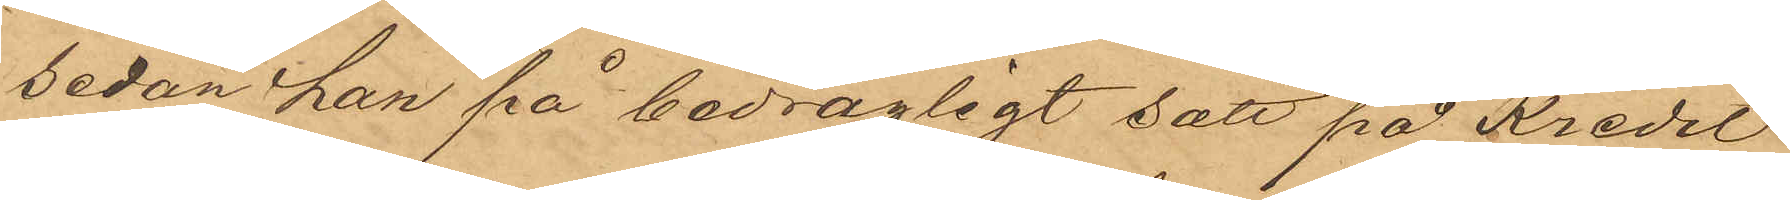sedan han på bedrägligt sätt på Kredit
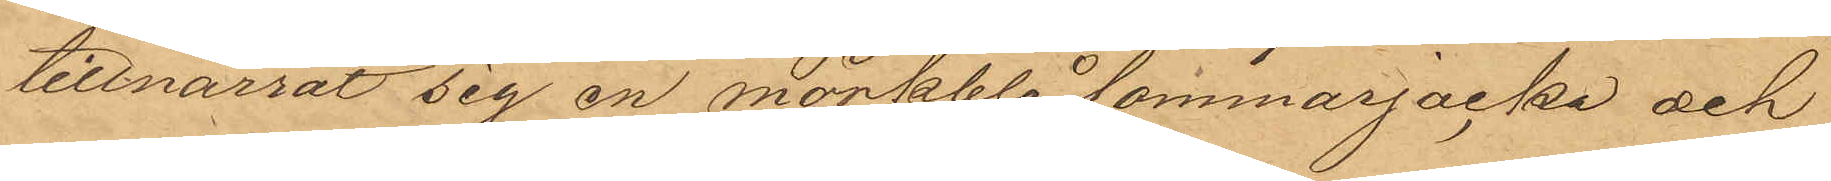tillnarrat sig en mörkblå sommarjacka och
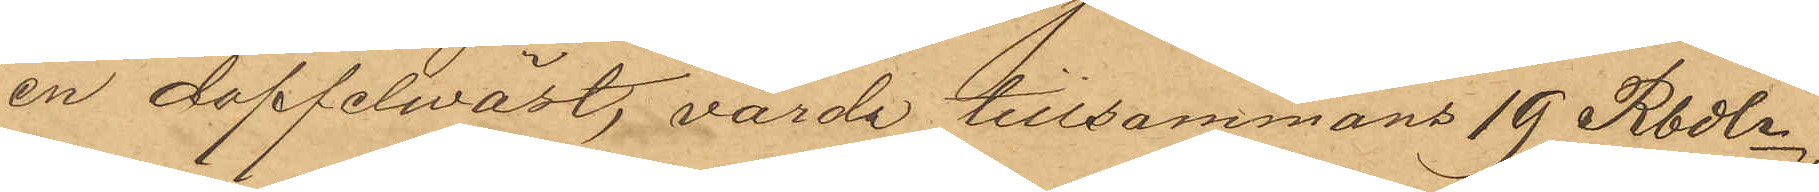en doffelwäst, värde tillsammans 19 Rbdlr,
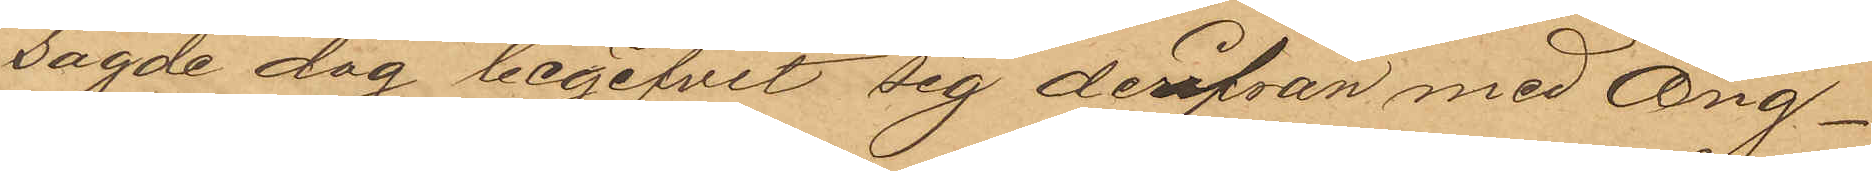sagde dag begifvit sig derifrån med Ång¬
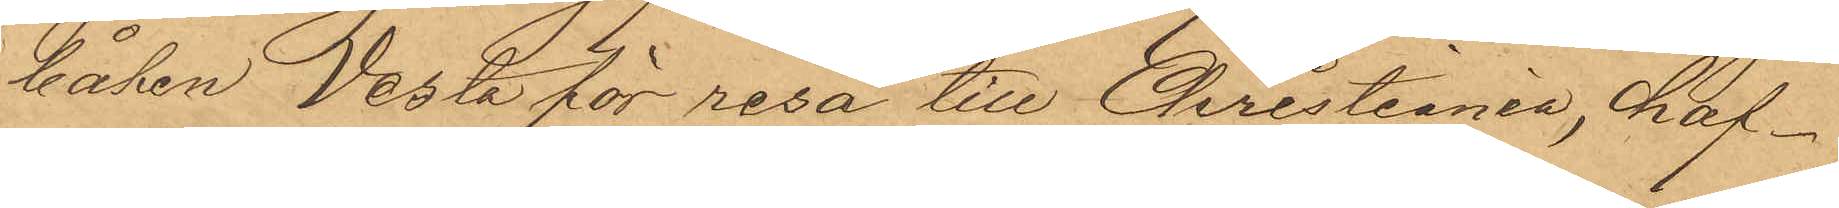båten Vesta för resa till Christiania, haf¬
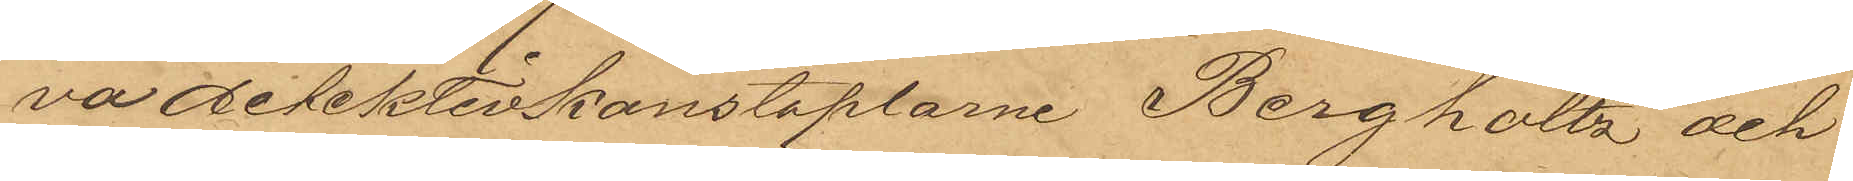va detektivkonstaplarne Bergholtz och
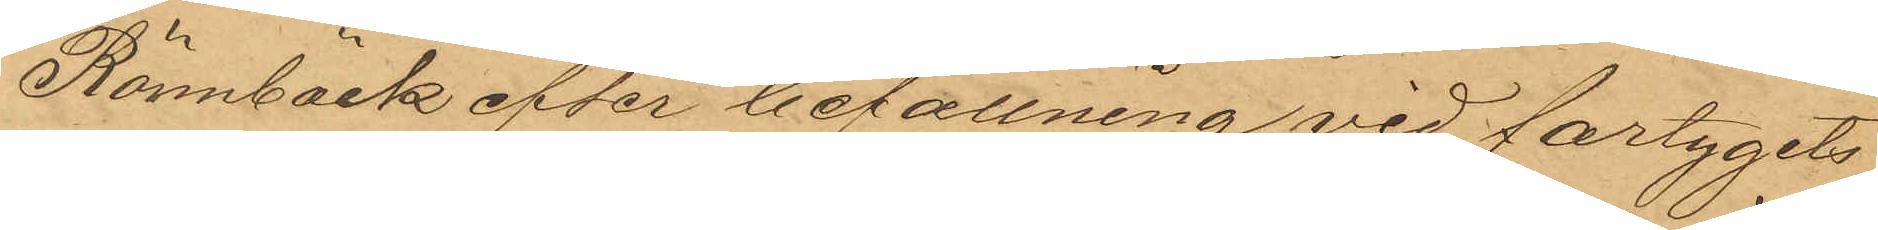Rönnbäck efter befallning vid fartygets
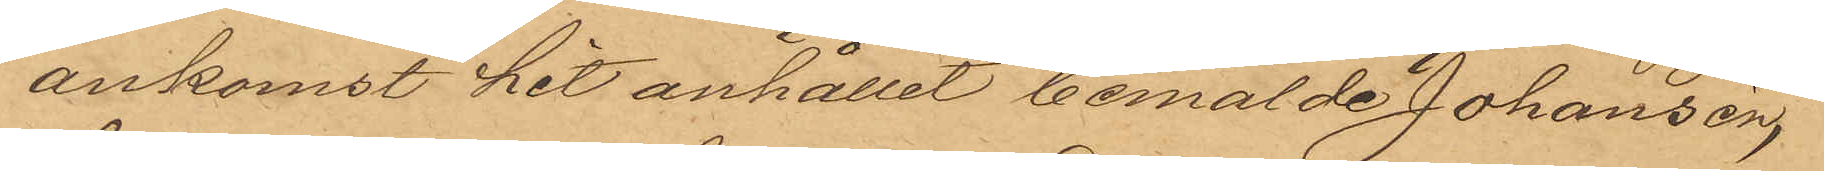ankomst hit anhållit bemälde Johansén,
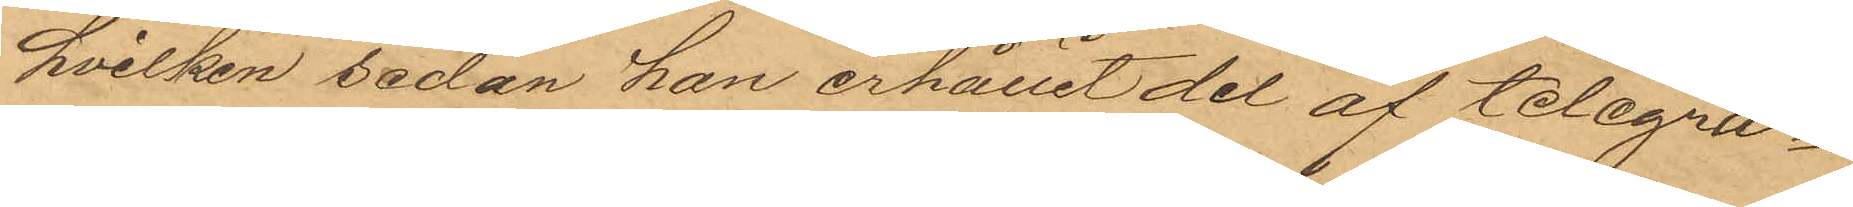hvilken sedan han erhållit del af telegra¬
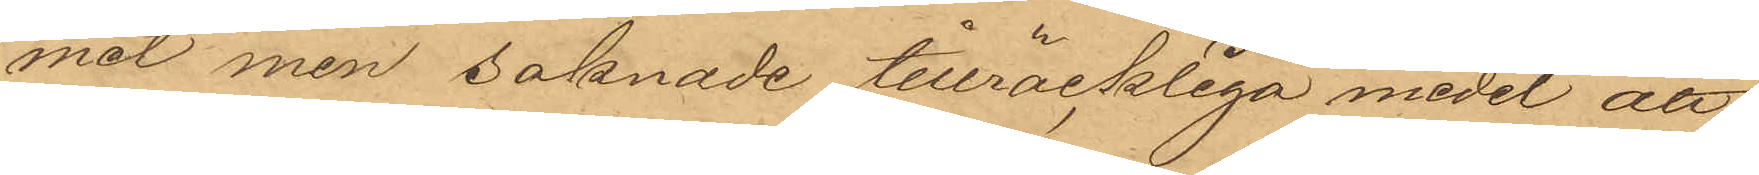met men saknade tillräckliga medel att
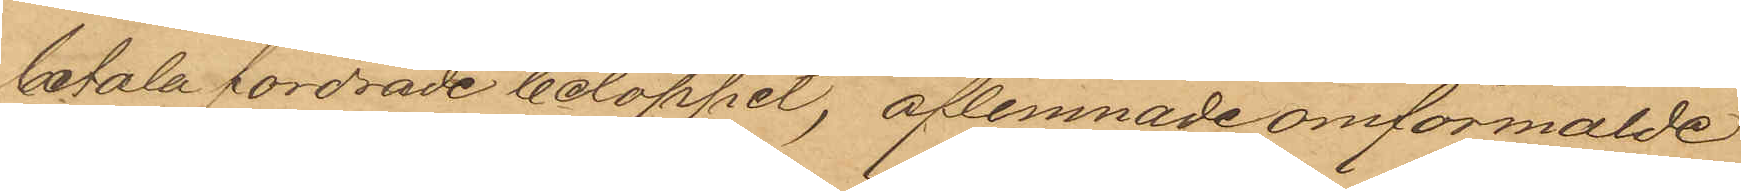betala fordrade beloppet, aflemnade omförmälde
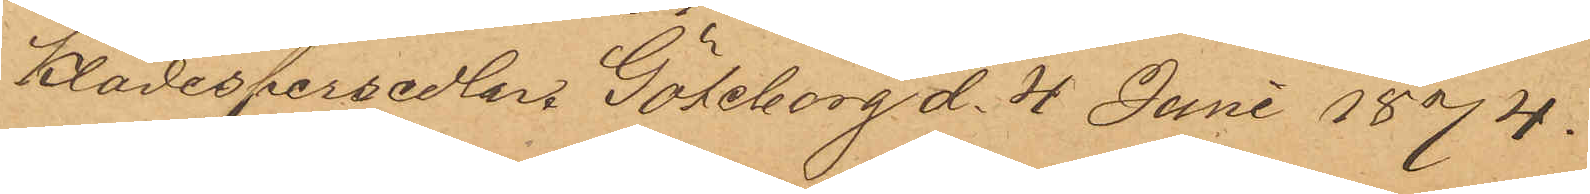klädespersedlar. Göteborg d. 4 Juni 1874.
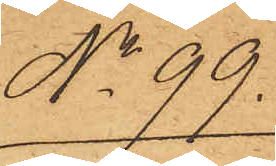No 99.
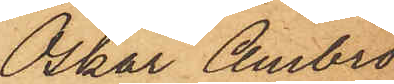Oskar Ambro¬
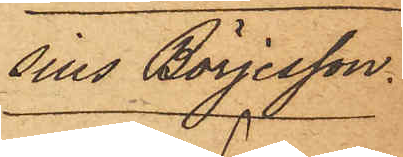sius Börjesson.
